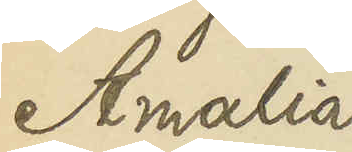Amalia
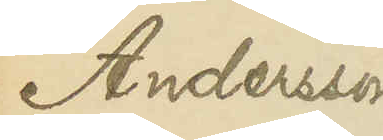Andersson
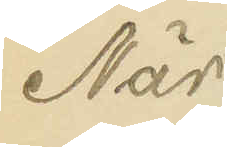När
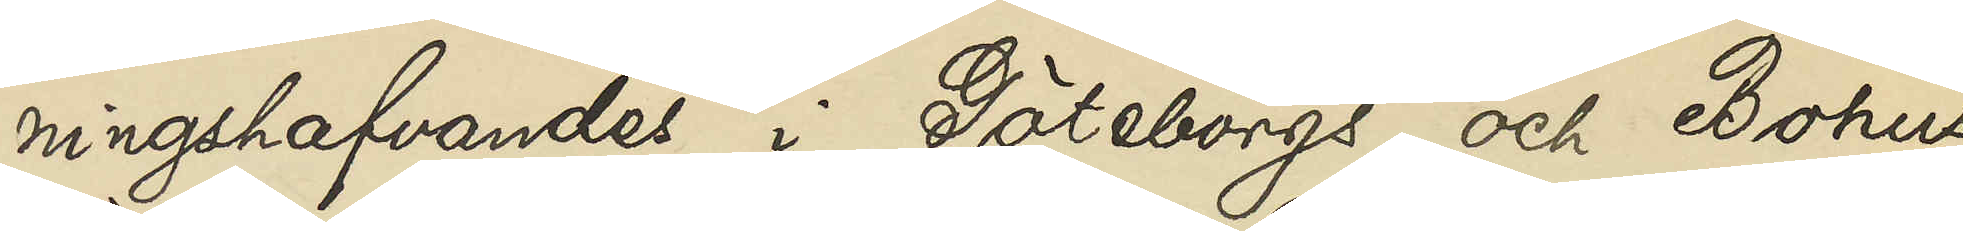ningshafvandes i Göteborgs och Bohus
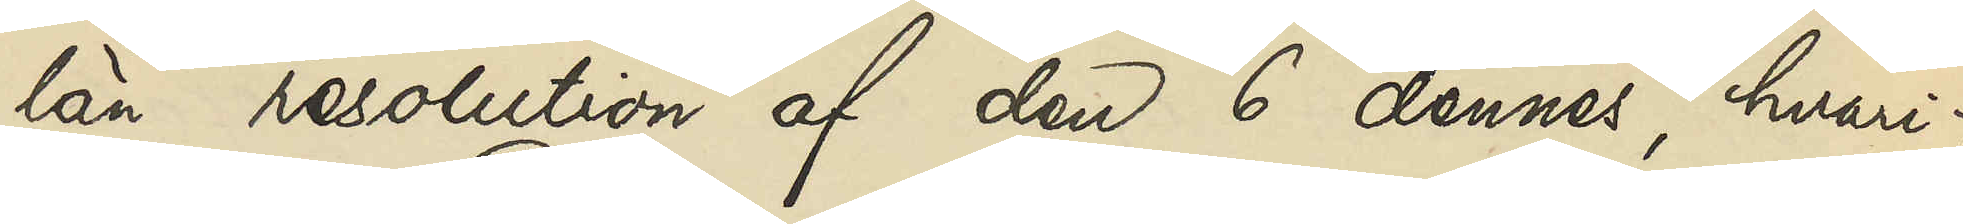län resolution af den 6 dennes, hvari¬
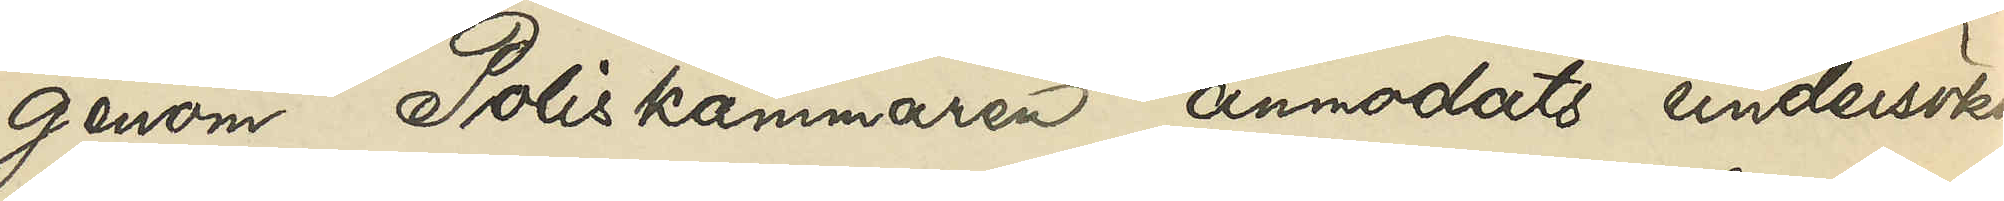genom Poliskammaren anmodats undersöka
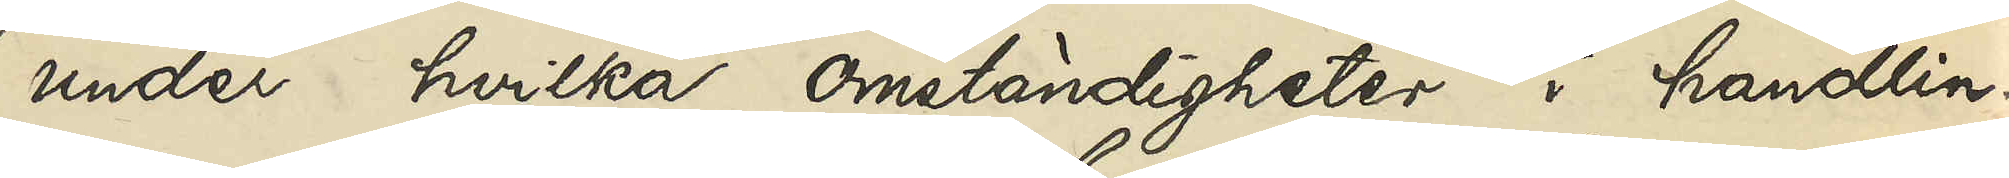under hvilka omständigher i handlin¬
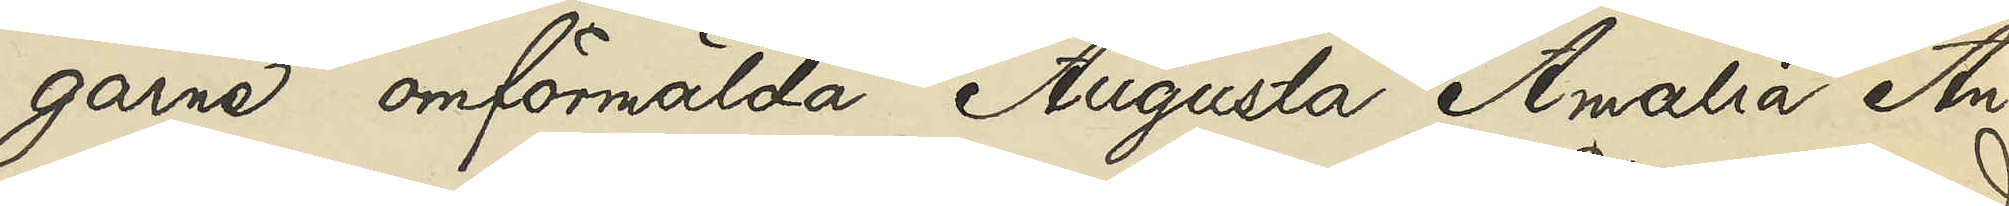garne omförmälda Augusta An¬
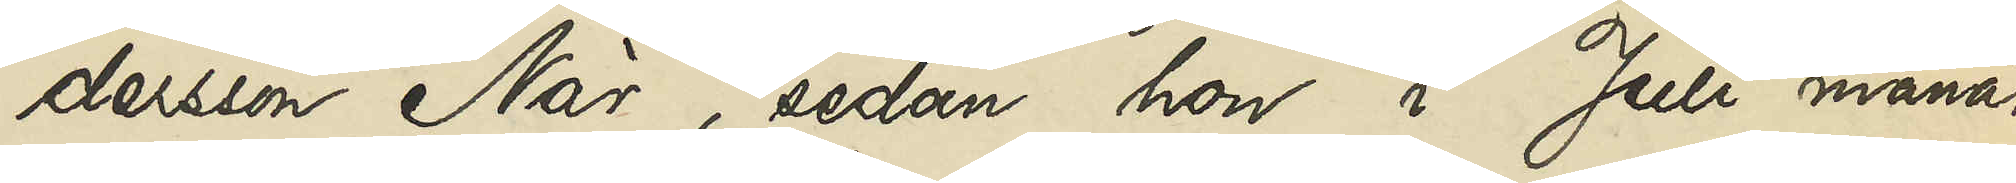dersson När, sedan hon i Juli månad
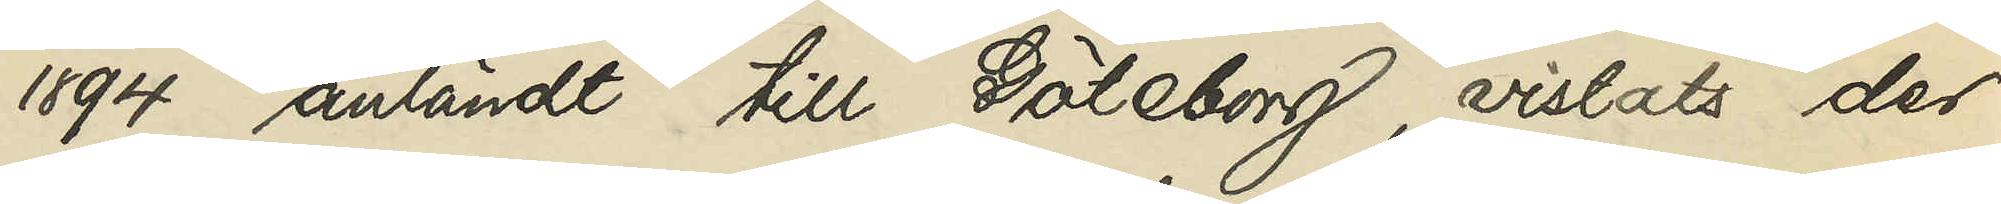1894 anländt till Göteborg, vistats der¬
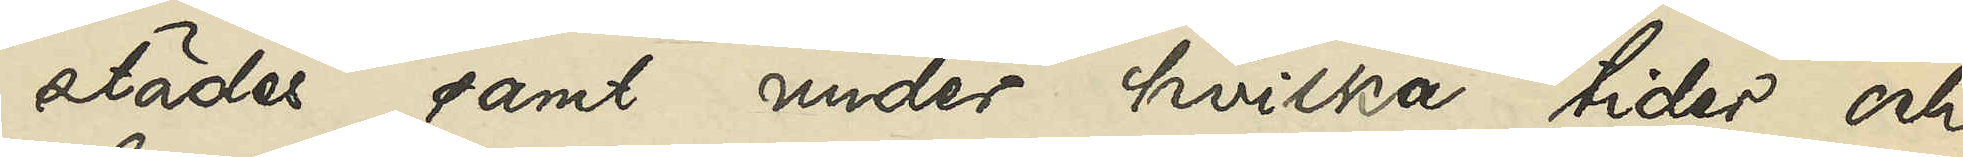städer samt under hvilka tider och
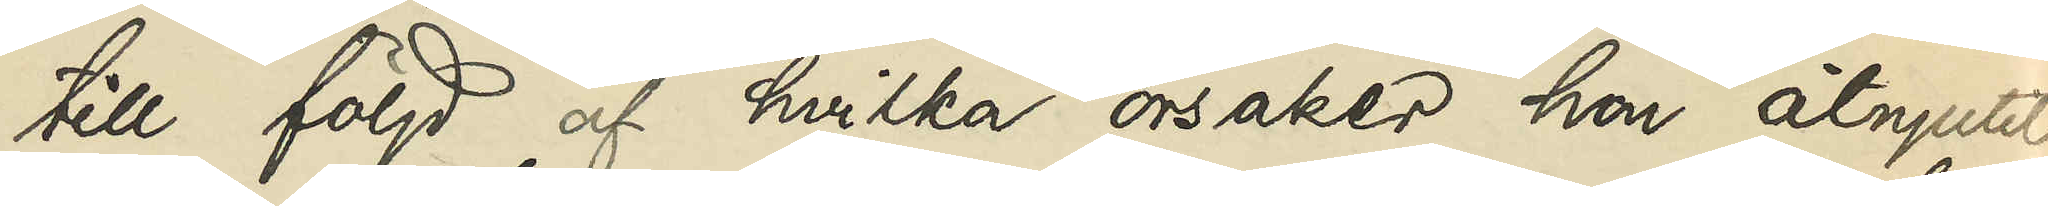till följd af hvilka orsaker hon åtnjutit
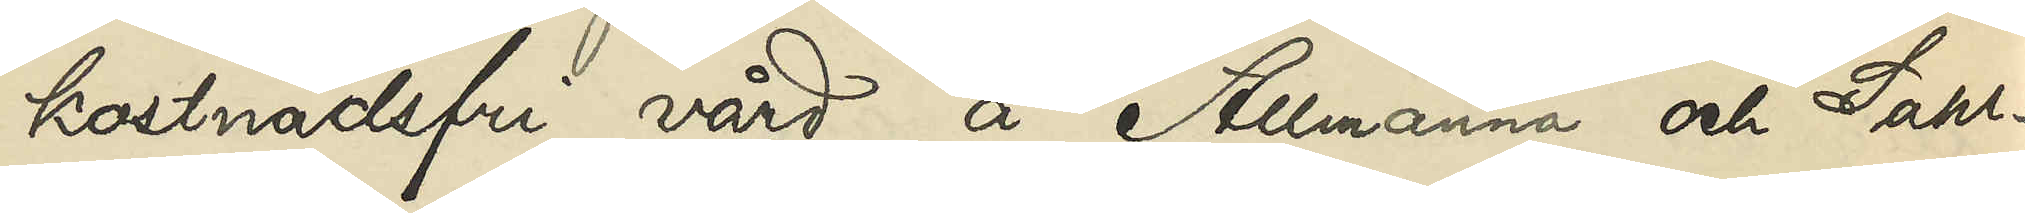kostnadsfri vård å Allmänna och Sahl¬
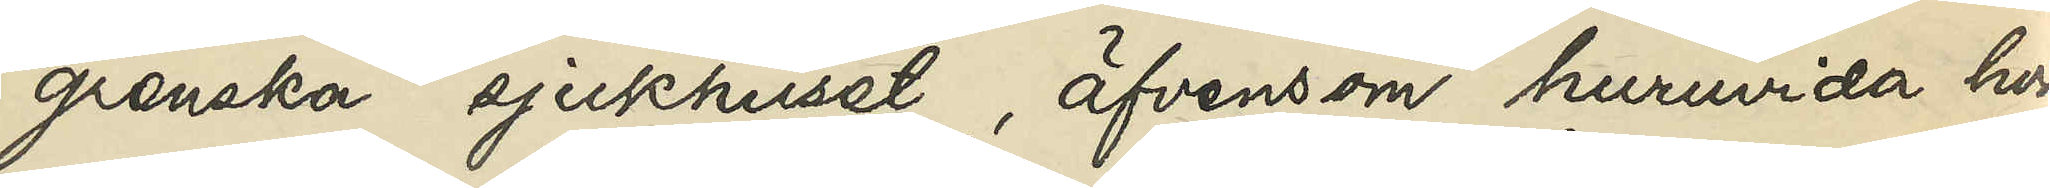grenska sjukhuset, äfvensom huruvida hon
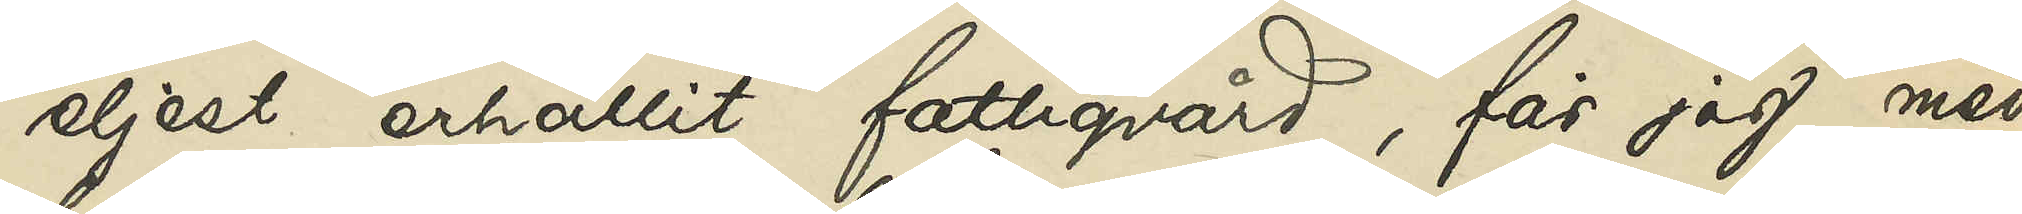eljest erhållit fattigvård, får jag, med
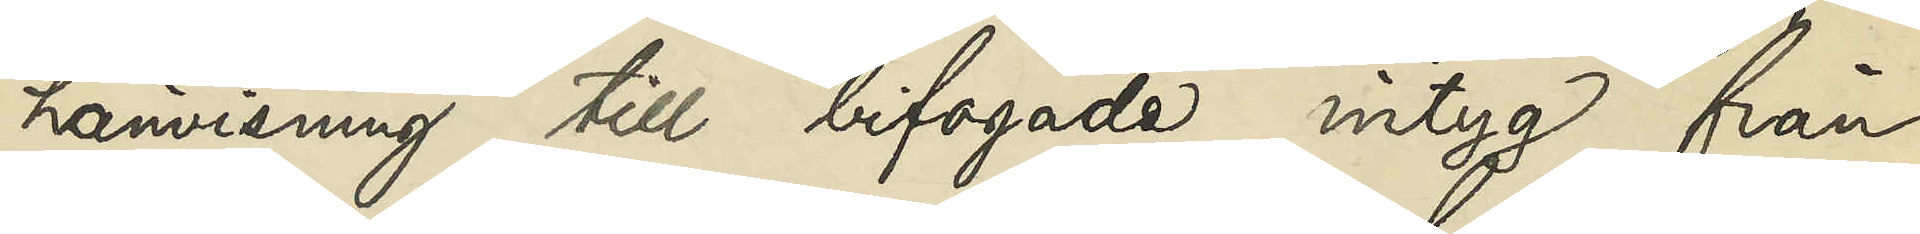hänvisning till bifogade intyg från
